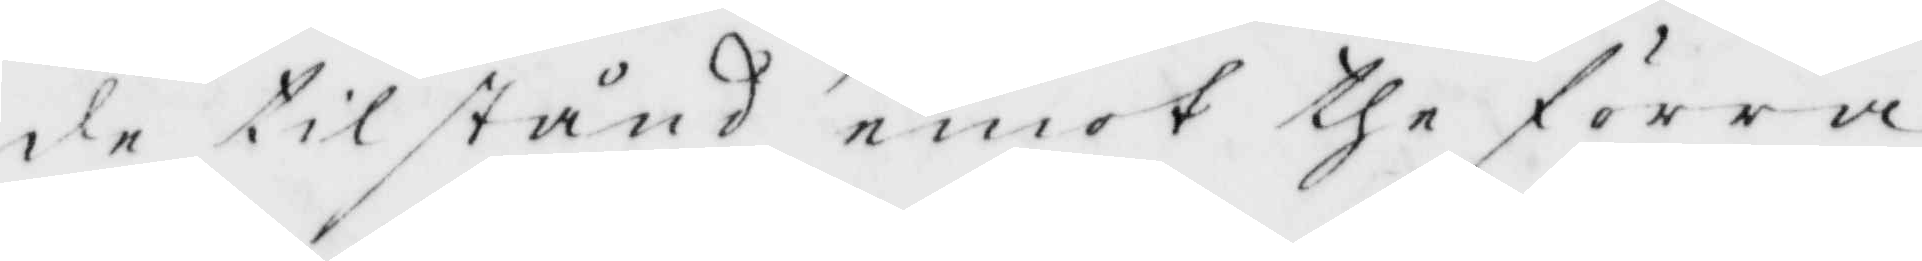de tilstånd emot the förra
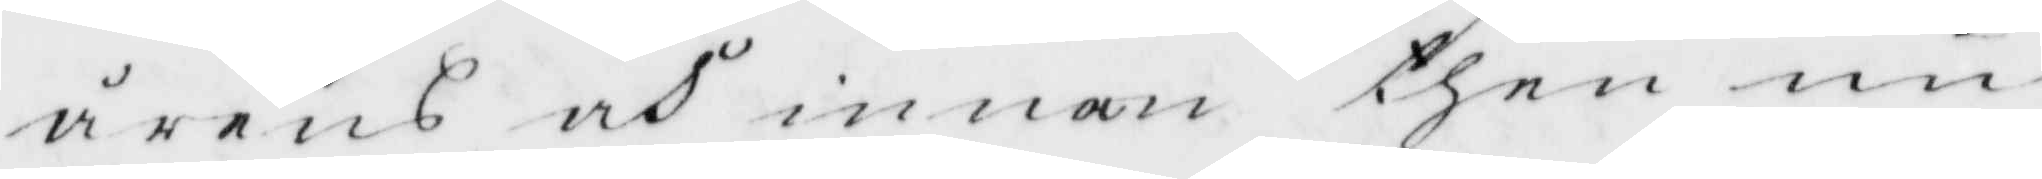årens och innan then nu
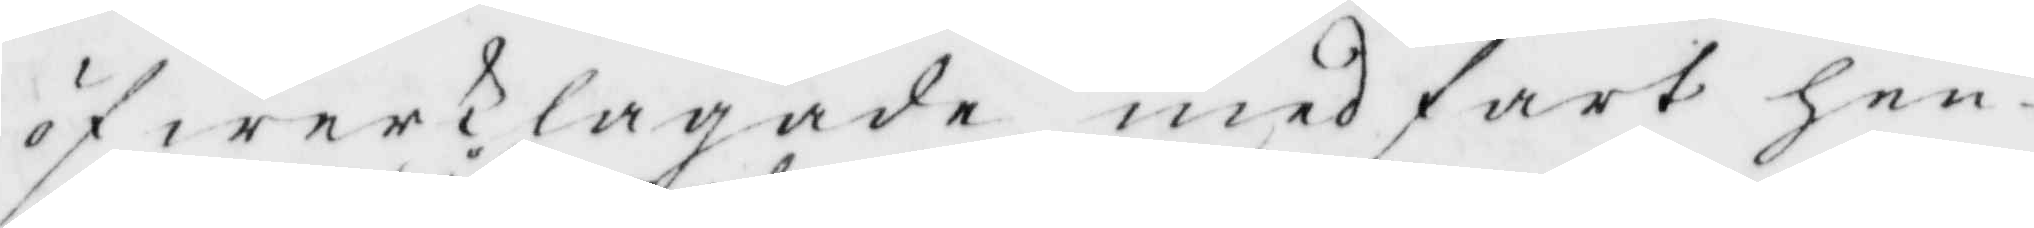öfwerKlagade medfart hen¬
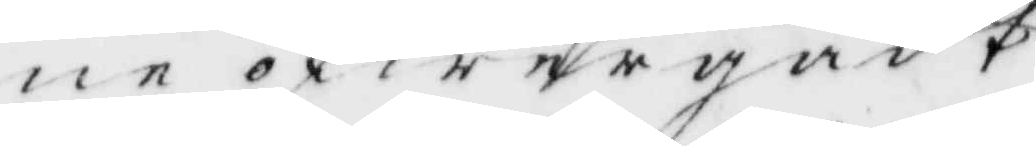ne öfwergådt
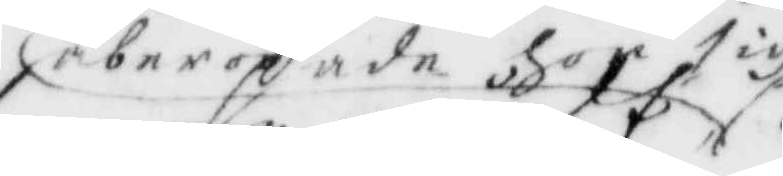åberopade hon sigh
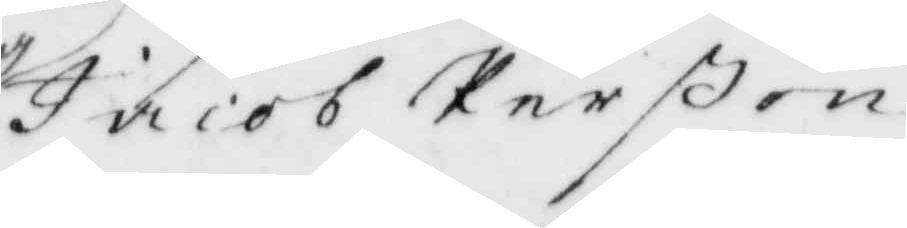Jacob Perßon
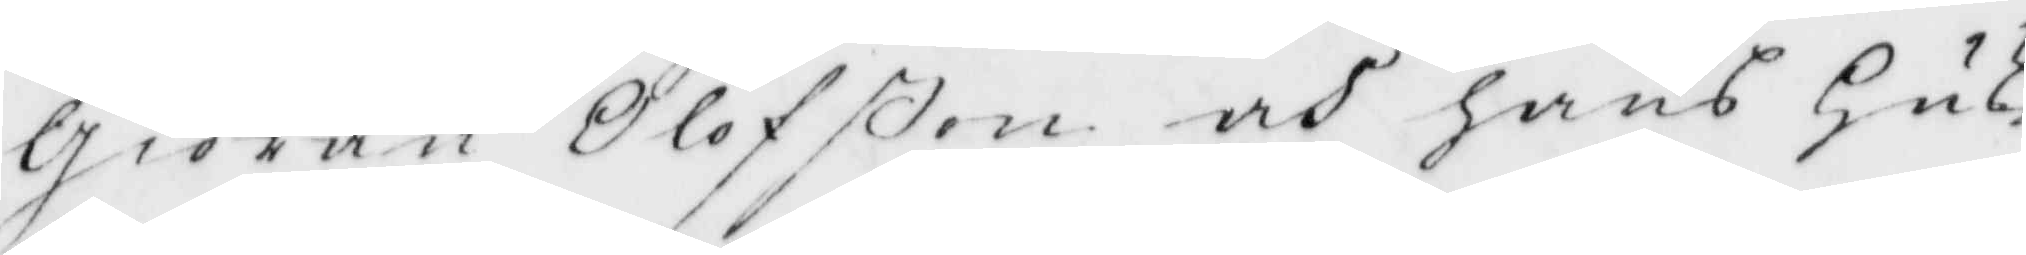Giöran Olofßon och hans Hus¬
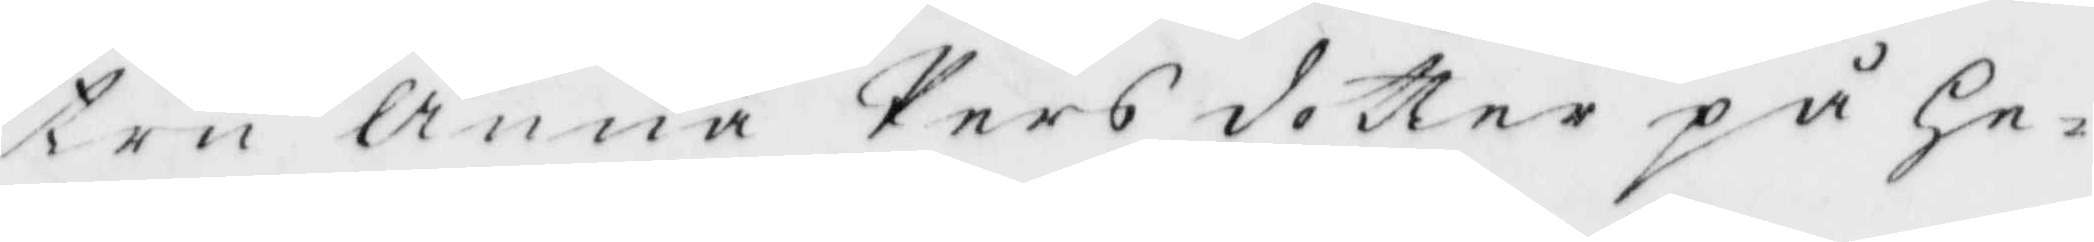tru Anna Persdotter på He¬
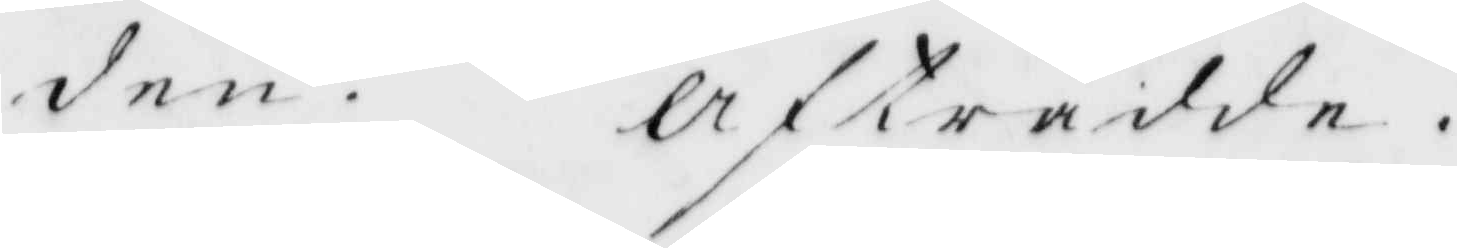den. Afträdde.
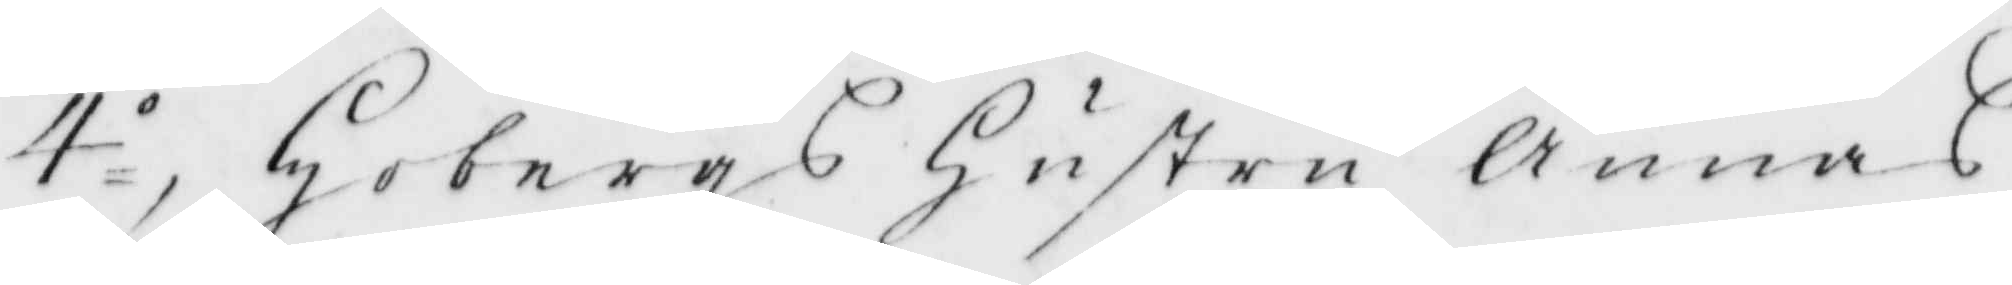4.o Hobergs Hustru Annas
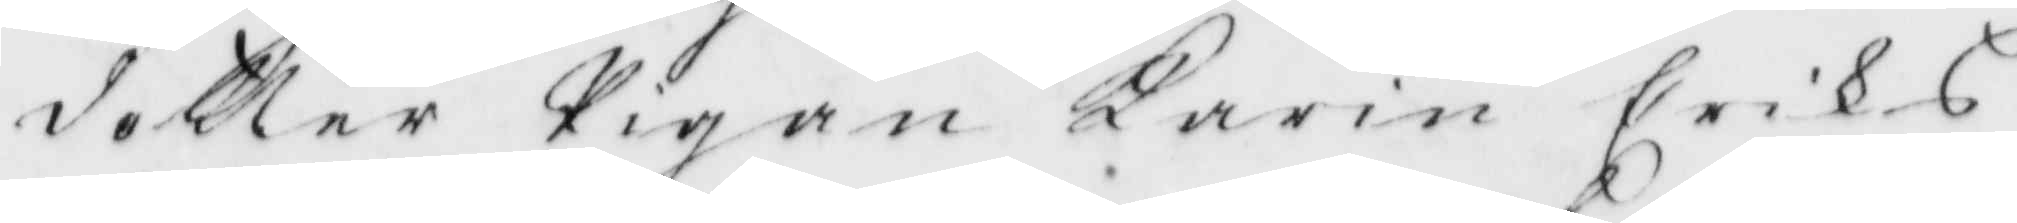dotter Pigan Karin Eriks¬
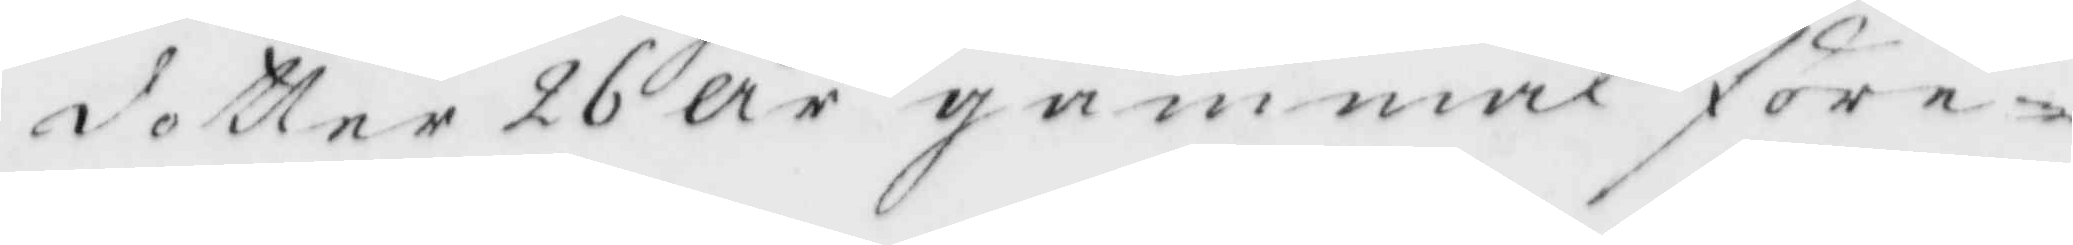dotter 26 år gammal före¬
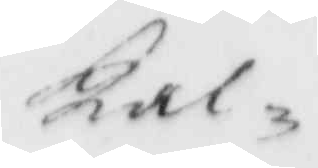kal
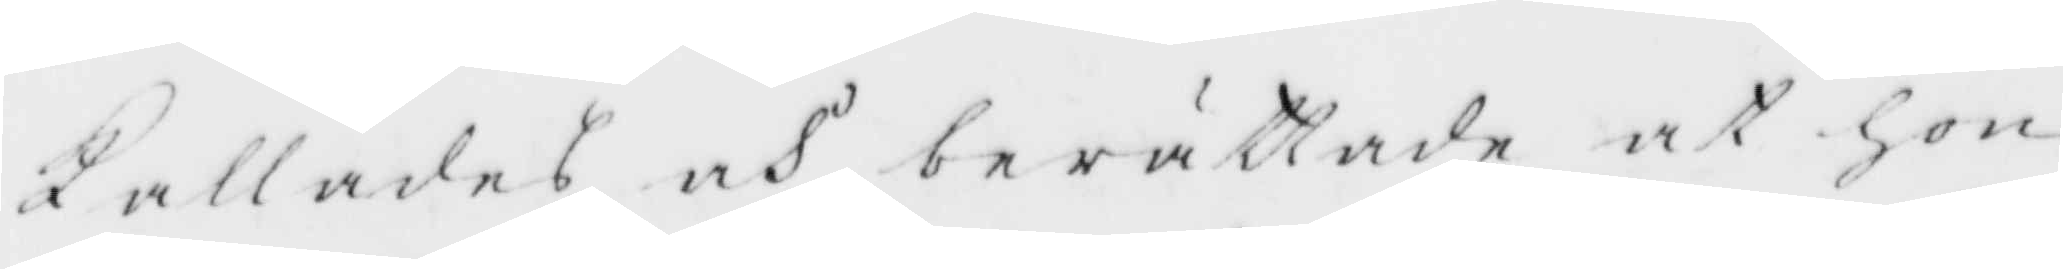Kallades och nerättade at hon
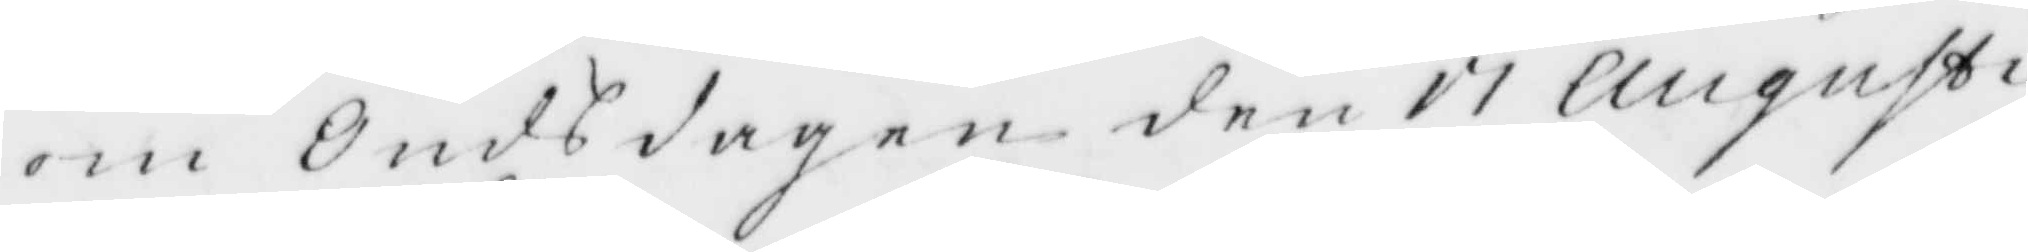om Osdagen den 11 Augusti
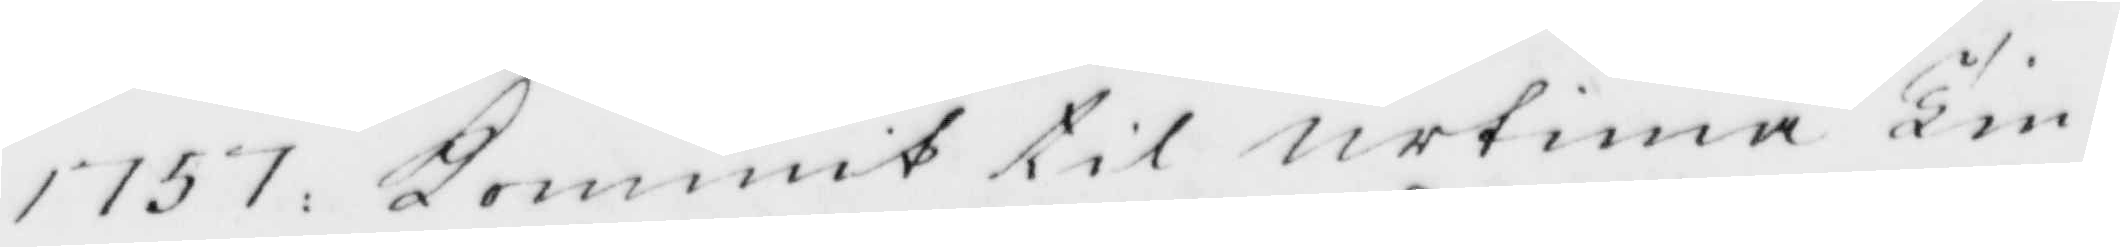1757: Kommit til urtima Tin¬
